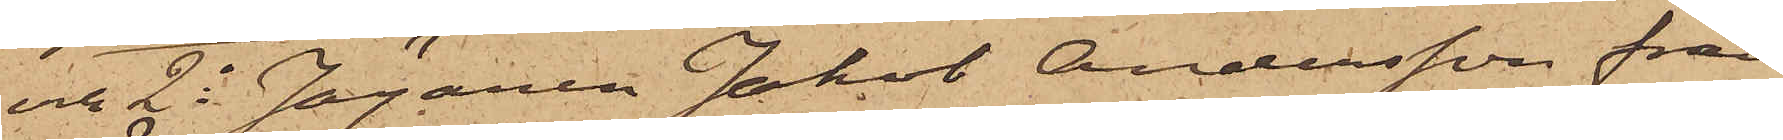och 2o Jägaren Jakob Andersson från
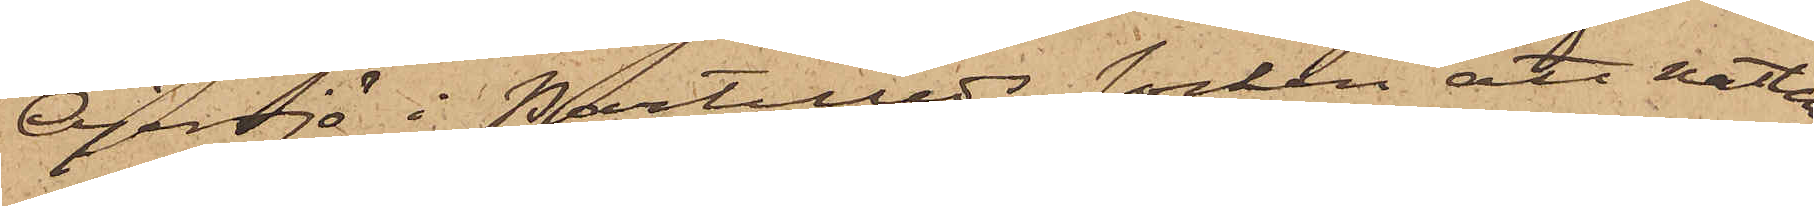Öjersjö i Partilleds socken att natten
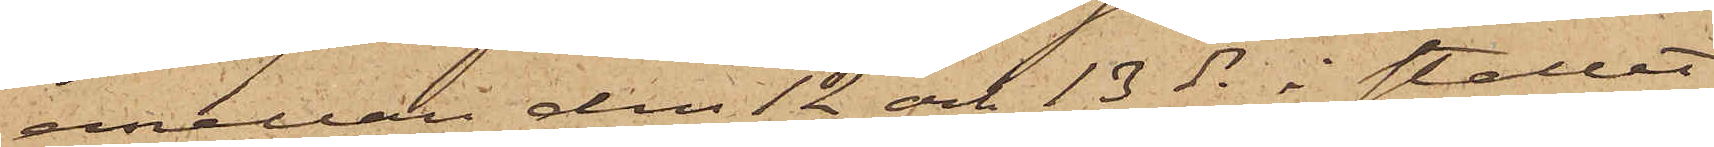emellan den 12 och 13 ds i stallet
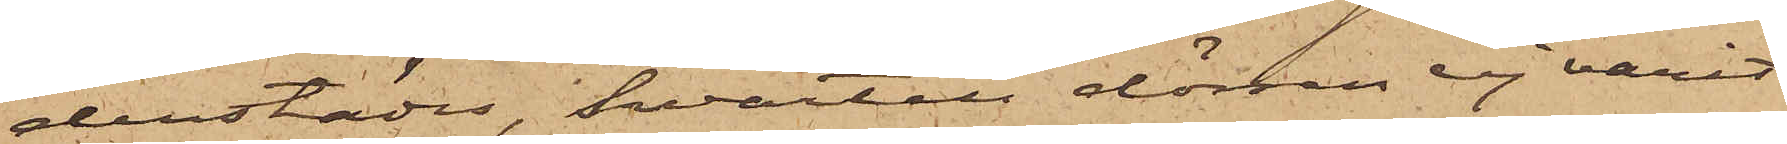derstädes, hvartill dörren ej varit
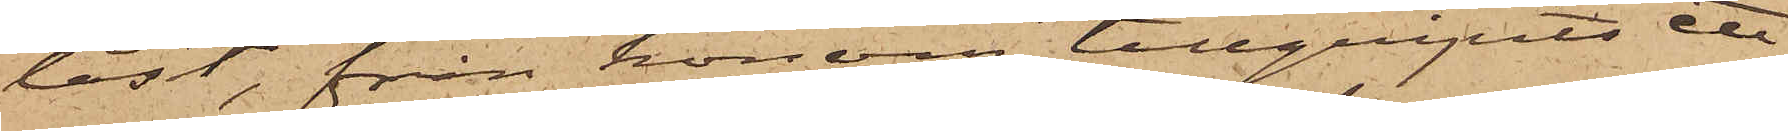låst, från honom tillgripits ett
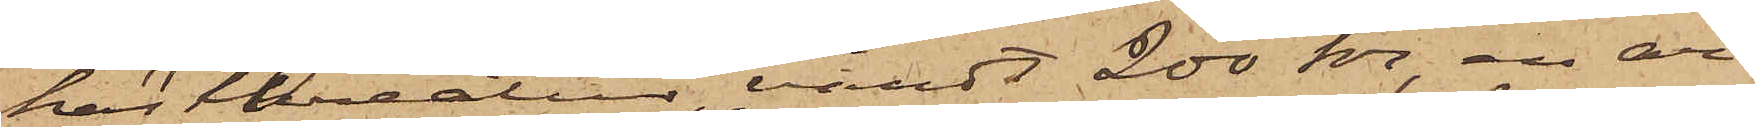hästkreatur, vändt 200 kr, en ar¬
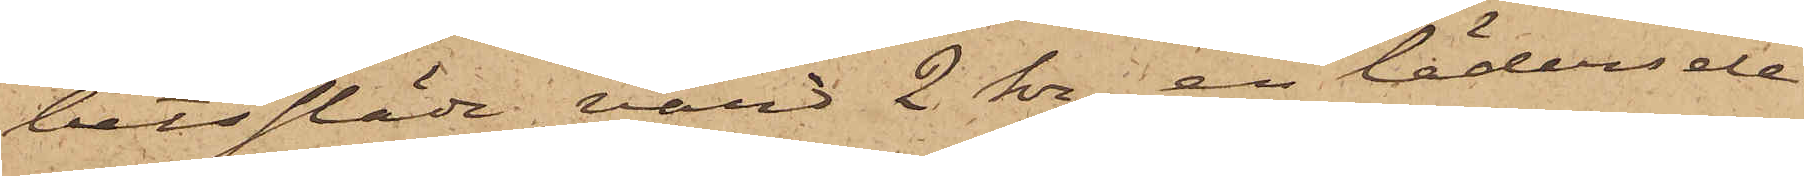betssläde, värd 2 kr, en lädersele
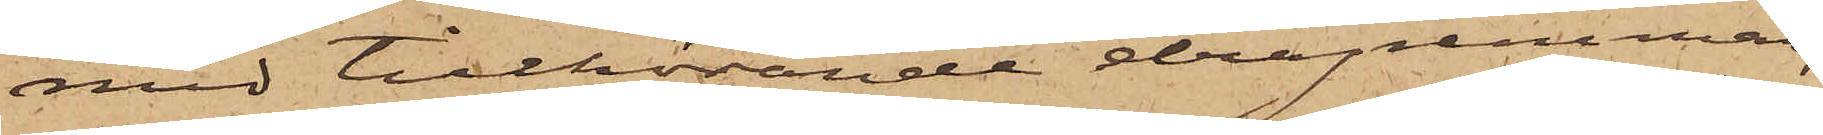med tillhörande dragremmar,
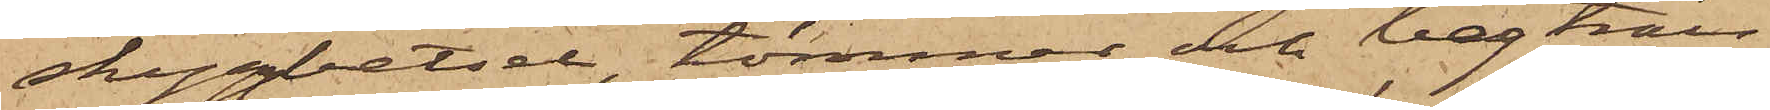skyggbetsel, tömmar och bogträn,
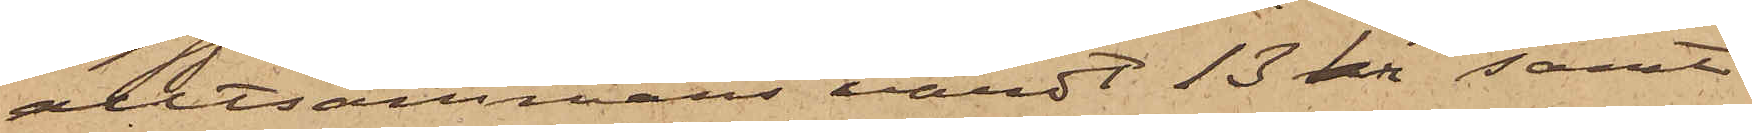alltsammans värdt 13 rdr samt
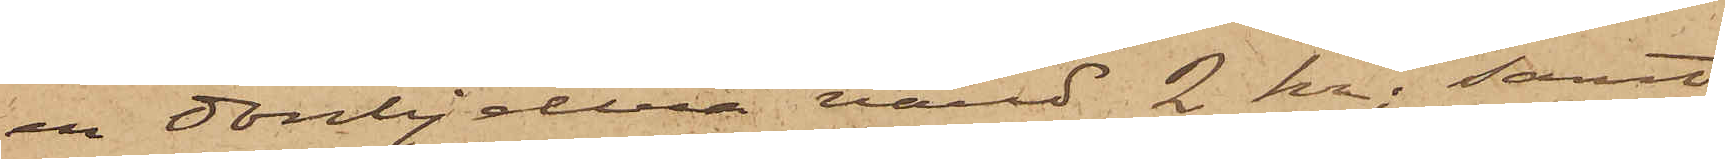en donbjellra värd 2 kr; samt
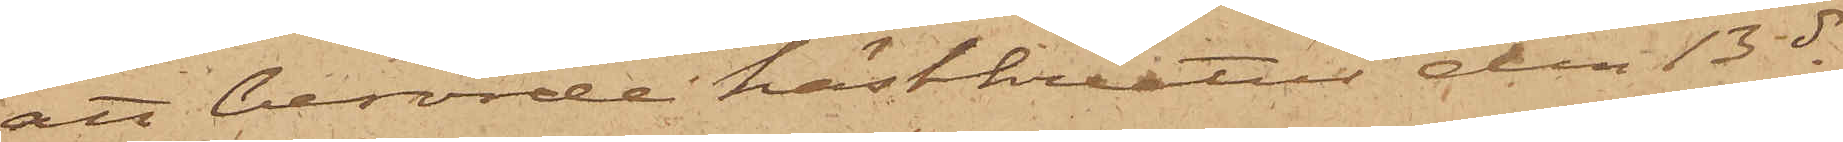att berörde hästkreatur den 13 ds
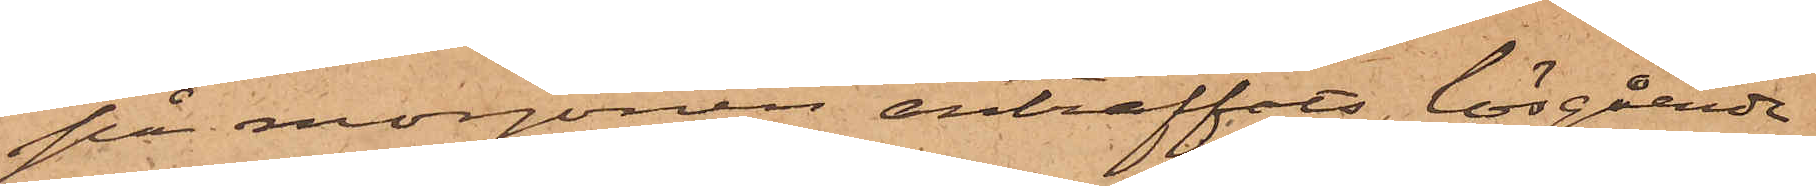på morgonen anträffats lösgående
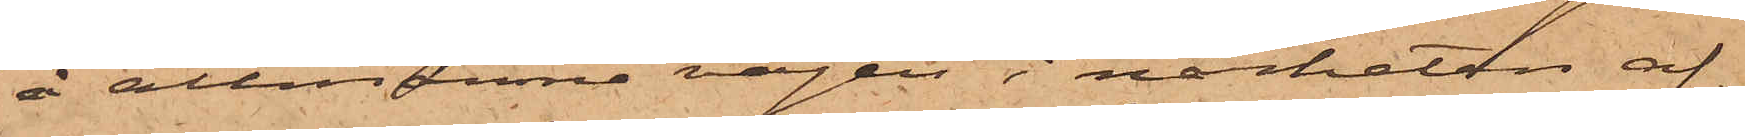å allmänna vägen i närheten af
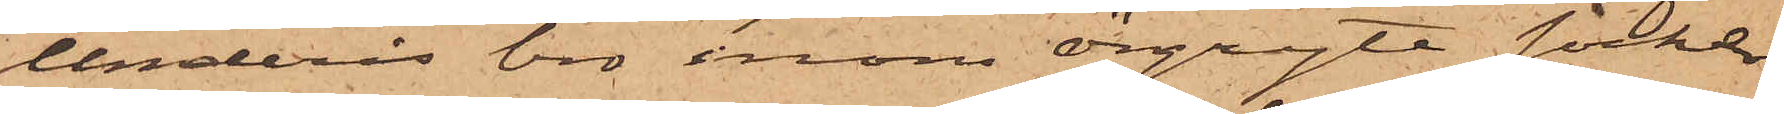Underås bro inom Örgryte socken
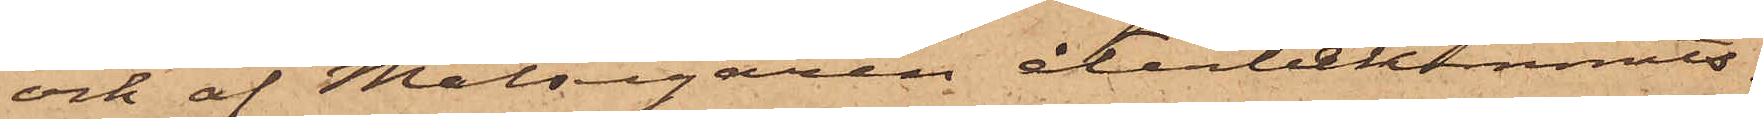och af Målsegaren återbekommits.
